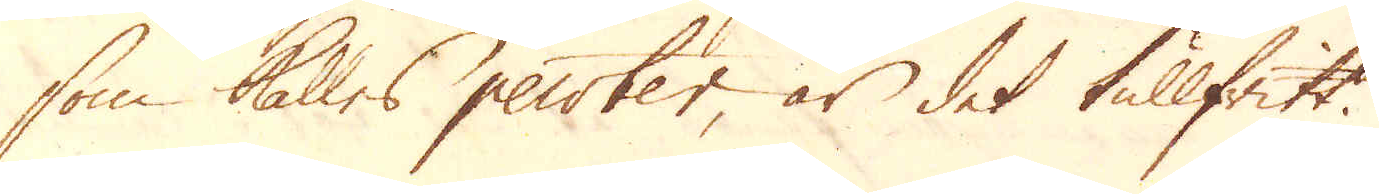som kallas pewter, är det tullfritt.
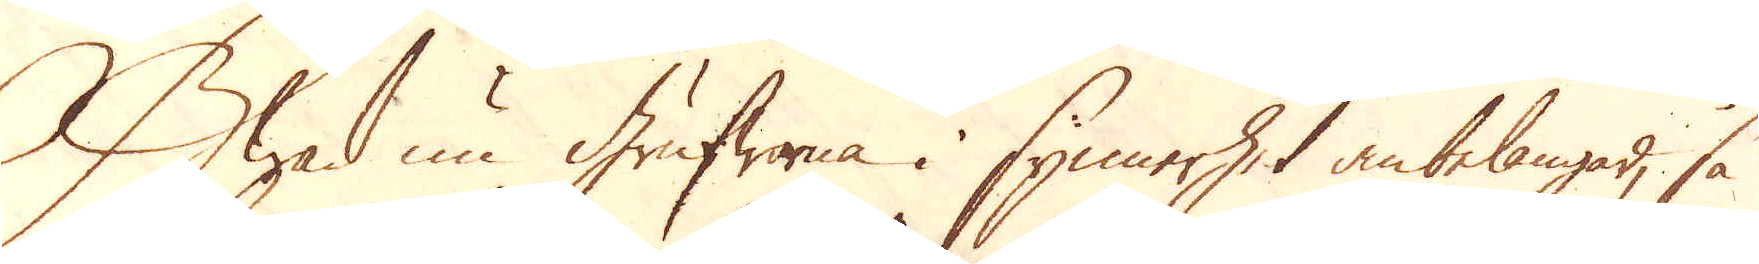Hwad nu grufworna i synnerhet anbelangar, så
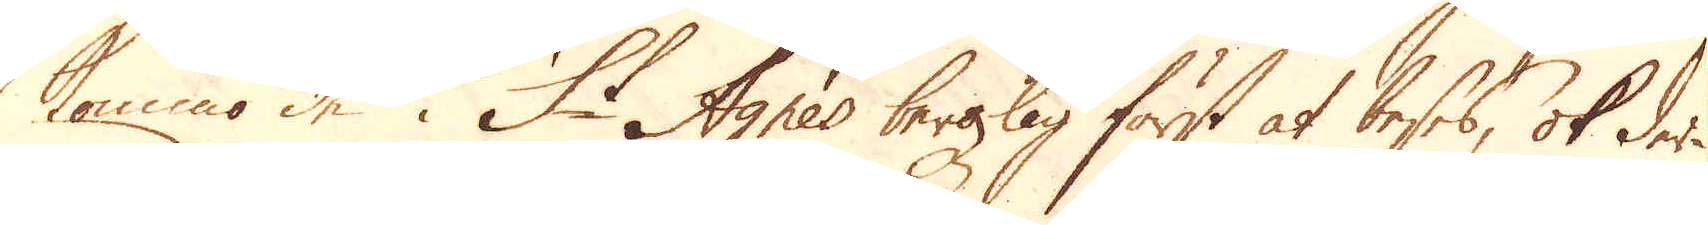kommo de i St Agnes bergzlag först at beses, ok der-
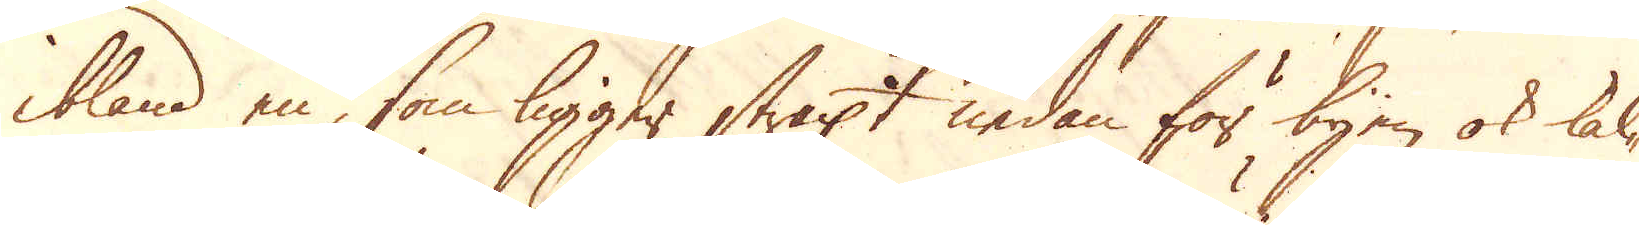ibland en, som ligger straxt nedan för byen ok kal-
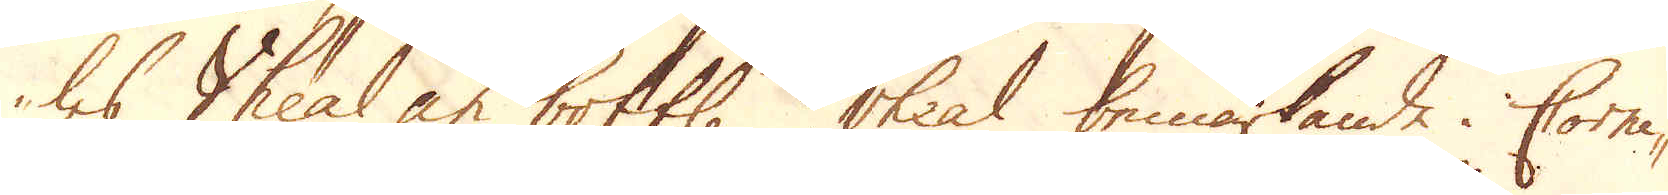les Vheal an bottle vheal bemärkande i Corni-
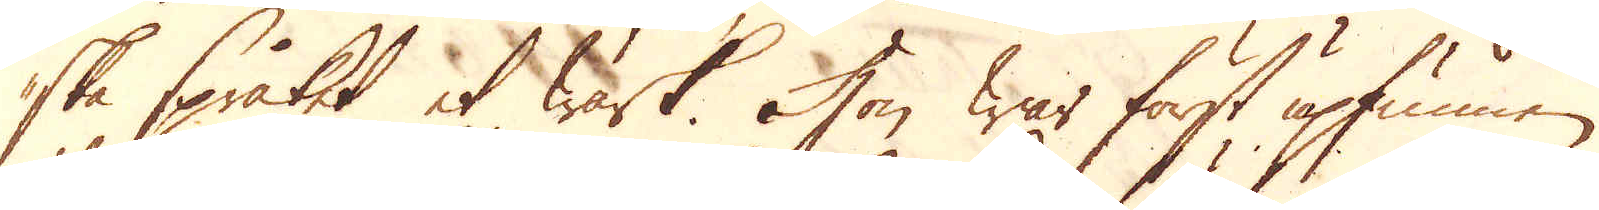ska språket et wärk. Hon war först upfunnen
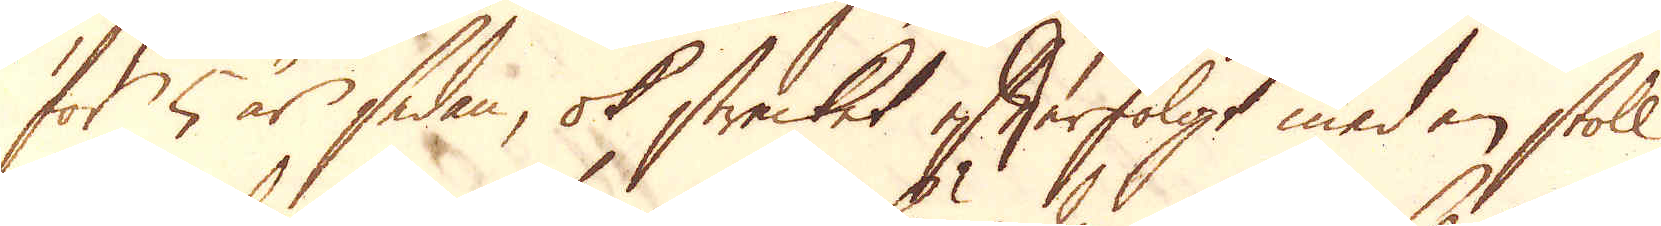för 5 år sedan, ok strecket efterfölgt med en stoll
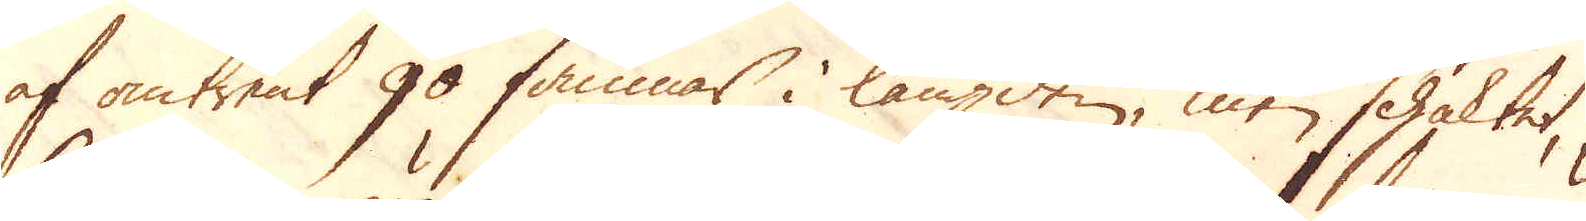af omtrent 90 famnar i längden, men schaktet,
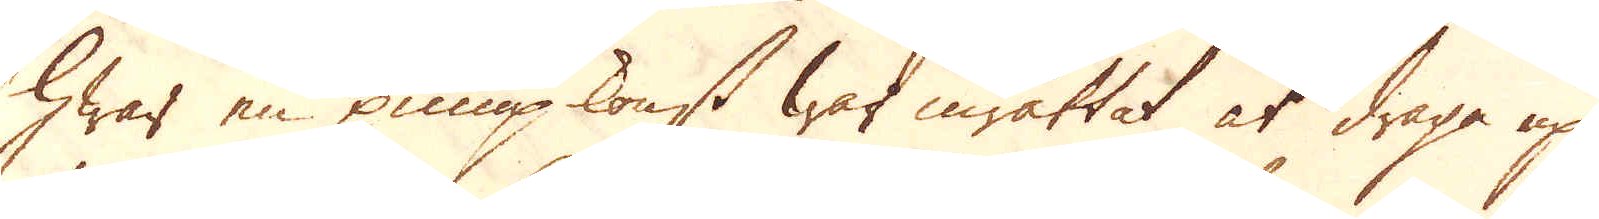hwar en pumpkonst war inrättat at draga up
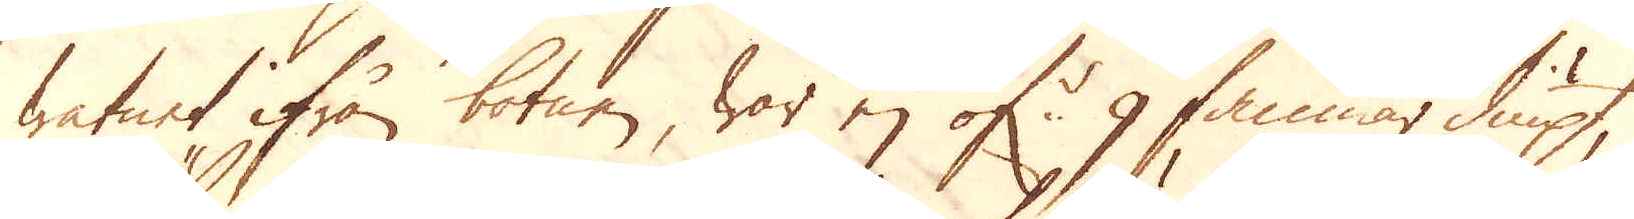watnet ifrån botnen war ej öf:r 9 famnar diupt,
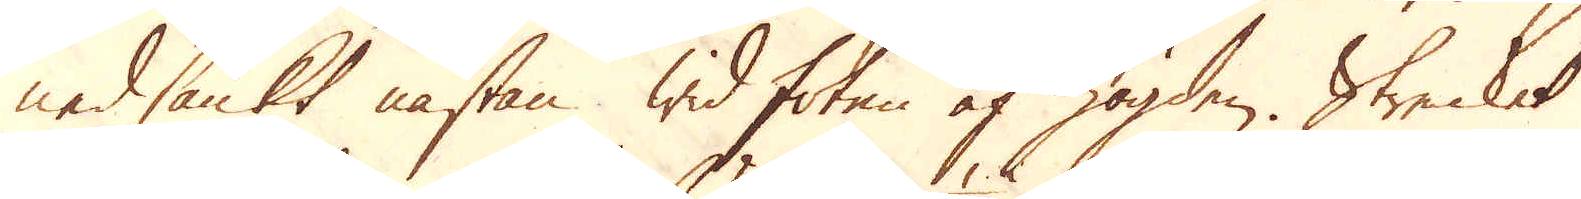nedsänkt nästan wid foten af högden. Strecket
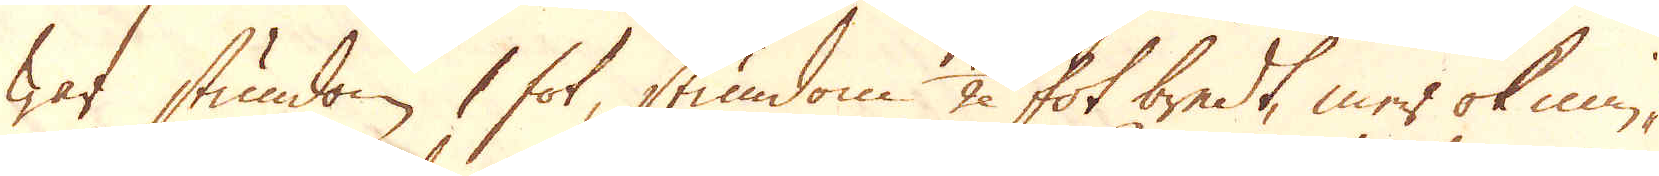war stundom 1 fot, stundom 1/2 fot bredt, mer ok min-
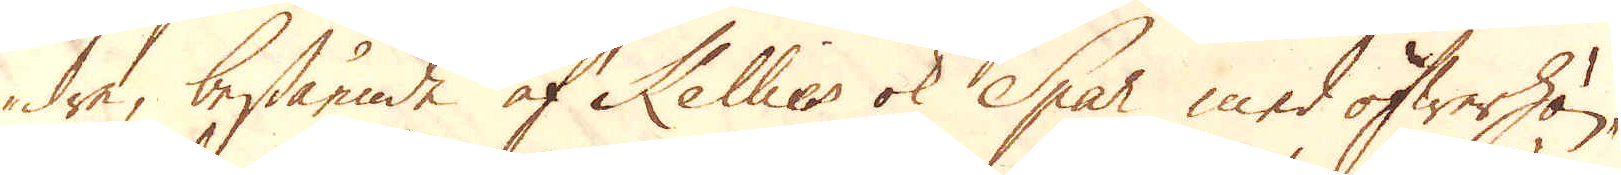dre, bestående af Kellies ok Spar med öfwerhän-
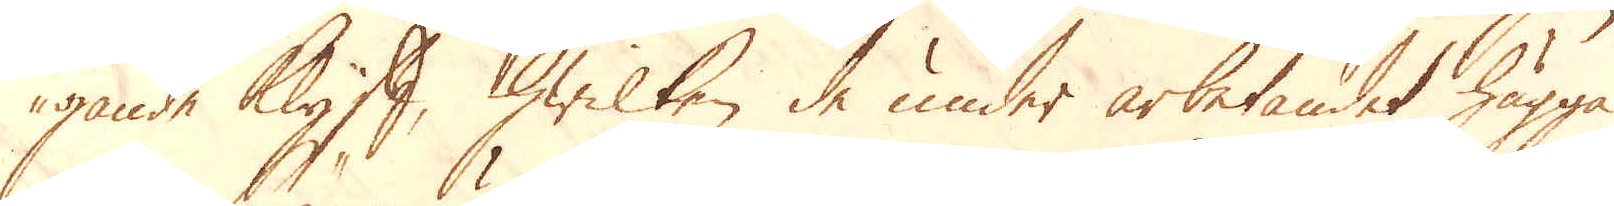gande Klyft, hwilken de under arbetandet hugga
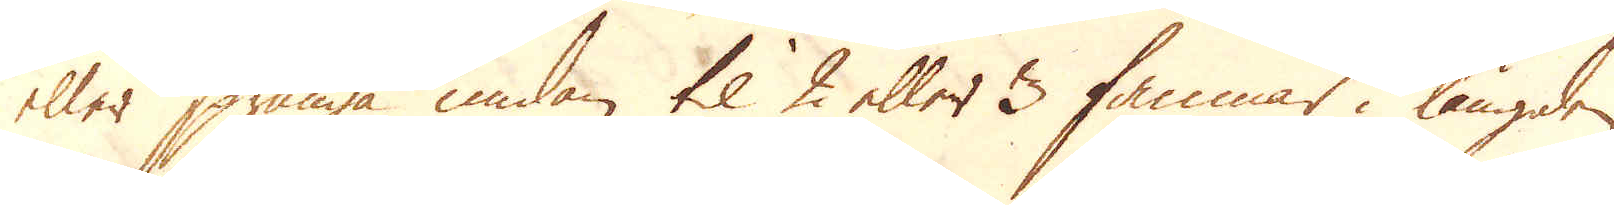eller spränga undan til 2 eller 3 famnar i längden
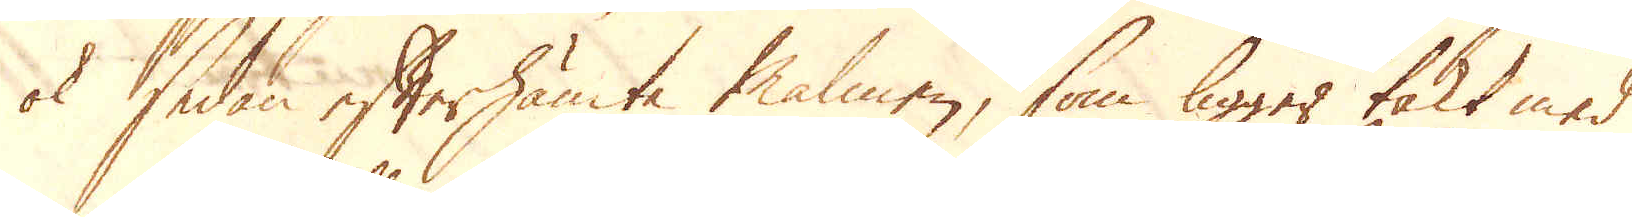ok sedan efterhämta malmen, som ligger täkt med
